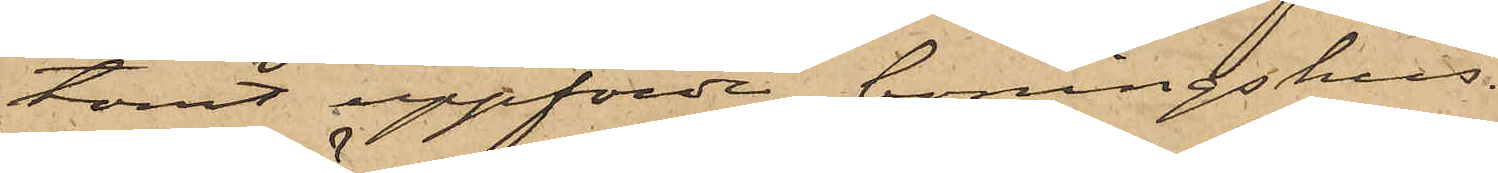tomt uppförde boningshus.
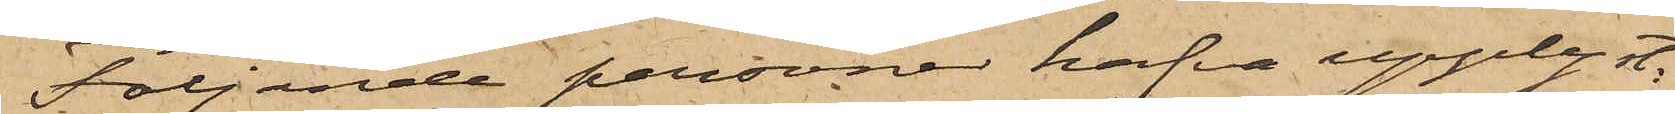Följande personer hafva upplyst:
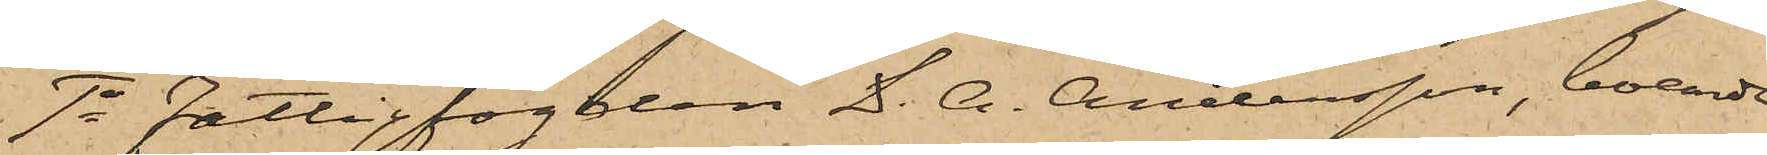1o Fattigfogden D. A. Andersson, boende
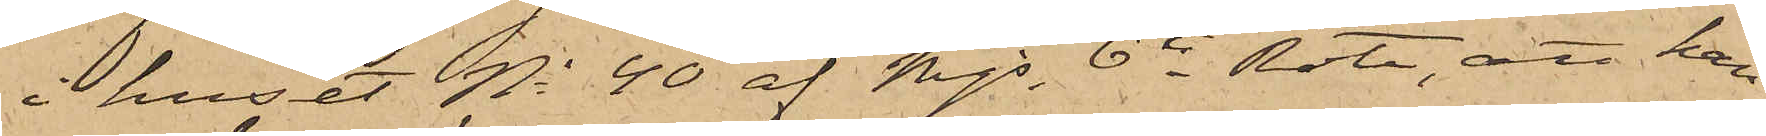i huset No 40 af Mjs 6te Rote, att han
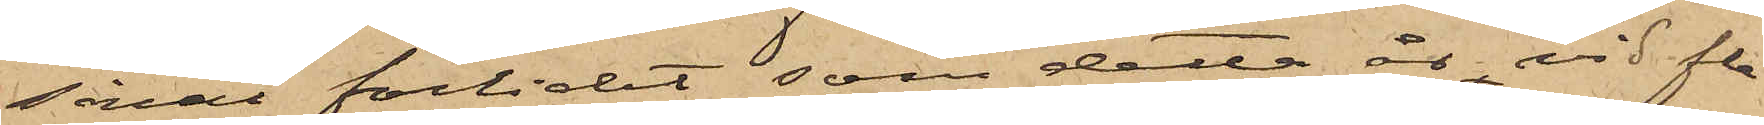såväl förlidet som detta år, vid fle¬
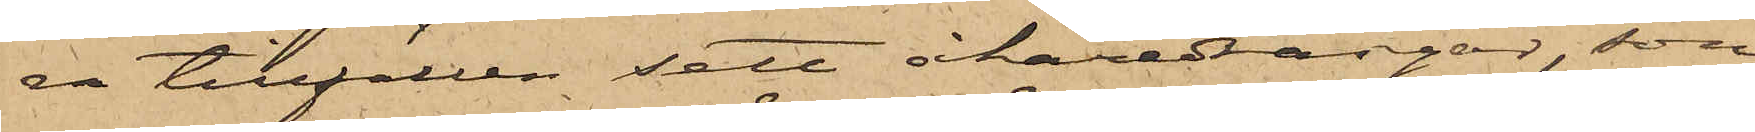ra tillfällen sett åkaredrängar, som
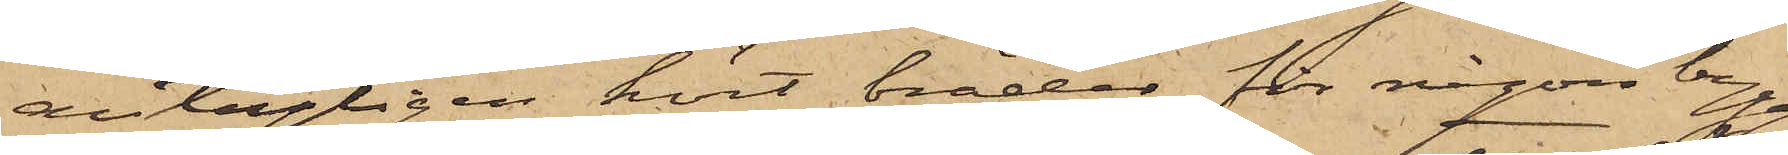antagligen kört bräder för någon bygg¬
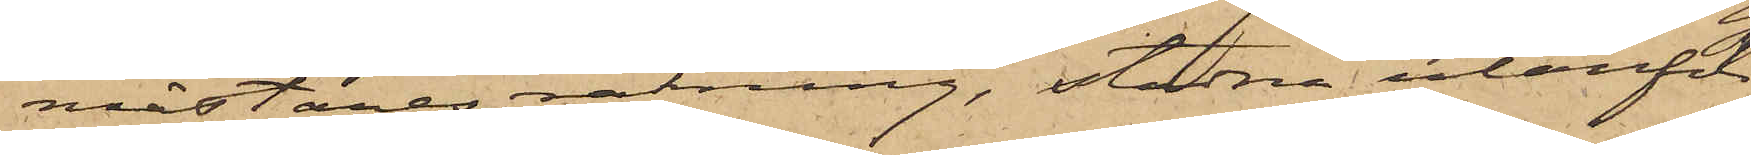mästares räkning, stadna utanför
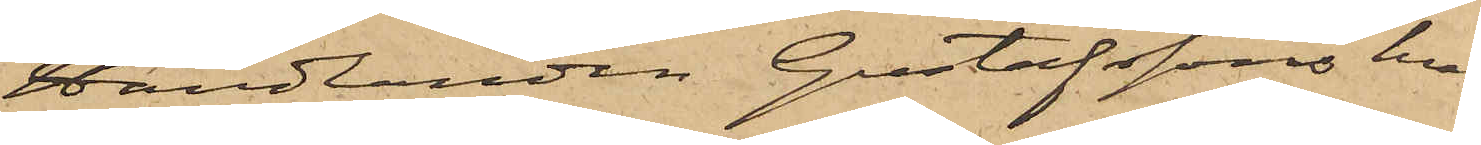Handlanden Gustafssons hus
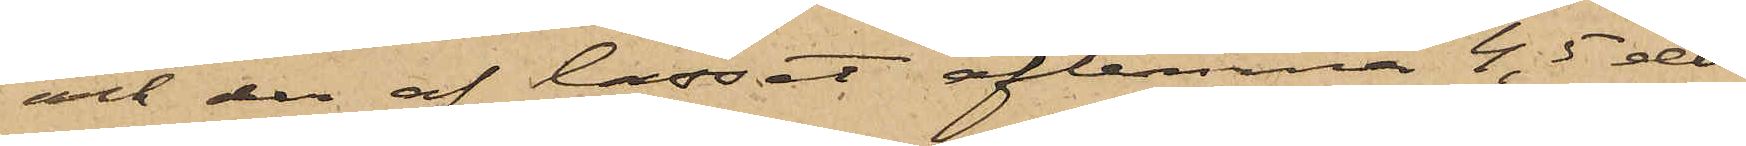och der af lasset aflemna 4, 5 eller
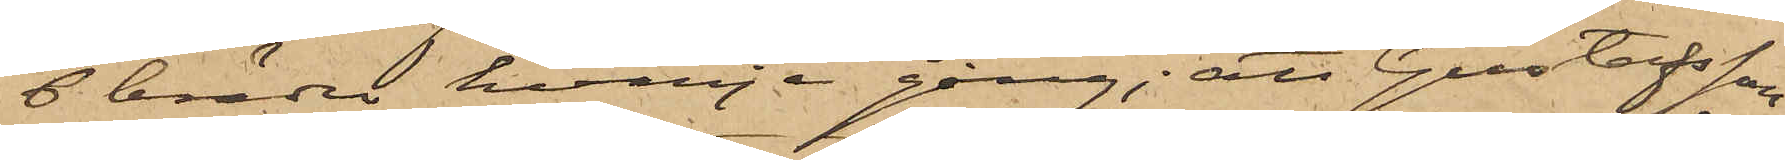6 bräder hvarje gång; att Gustafsson
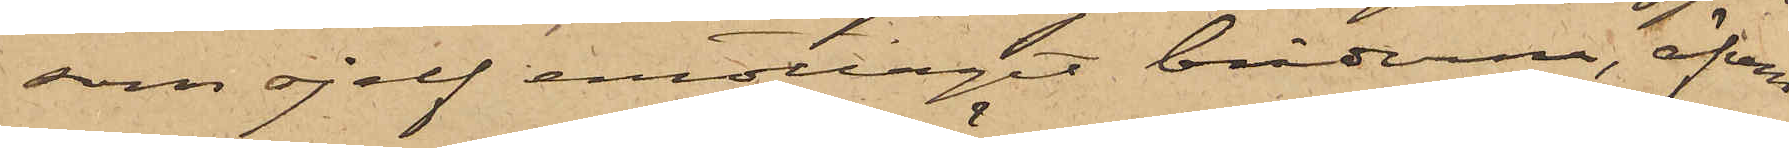som sjelf emottagit bräderna, äfven
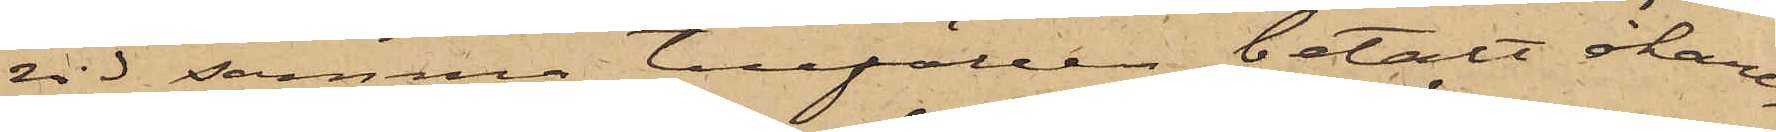vid samma tillfällen betalt åkare¬
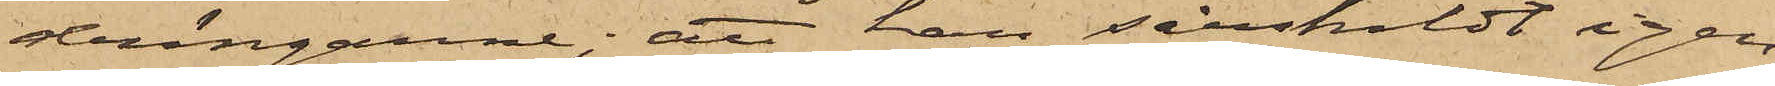drängarne; att han särskildt igen¬
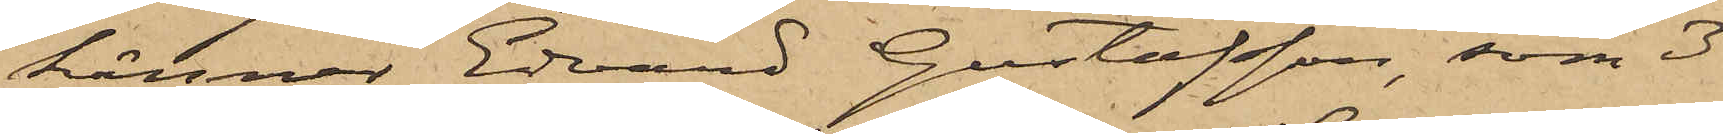känner Edvard Gustafsson, som 3
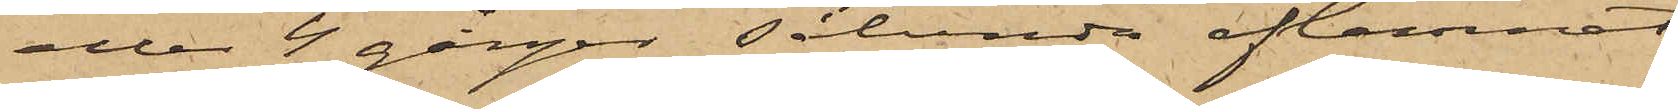eller 4 gånger sålunda aflemnat
